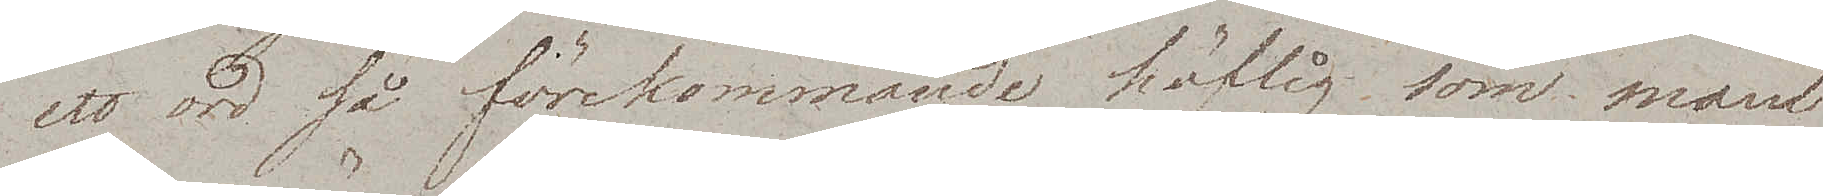ett ord så förekommande höflig som man
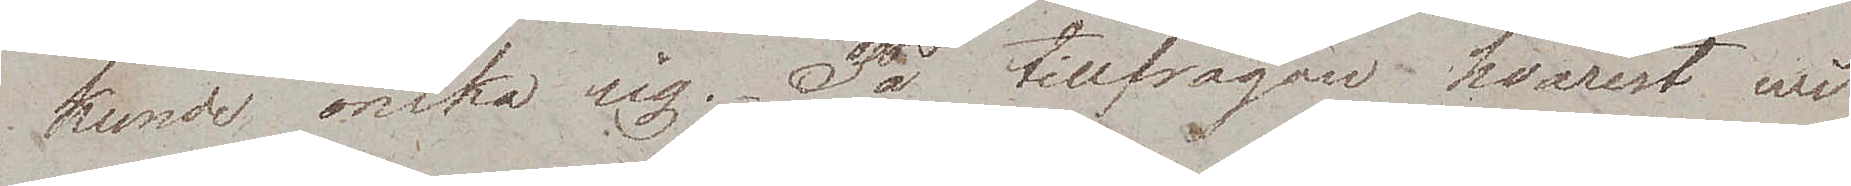kunde önska sig. På tillfrågan hvarest wi
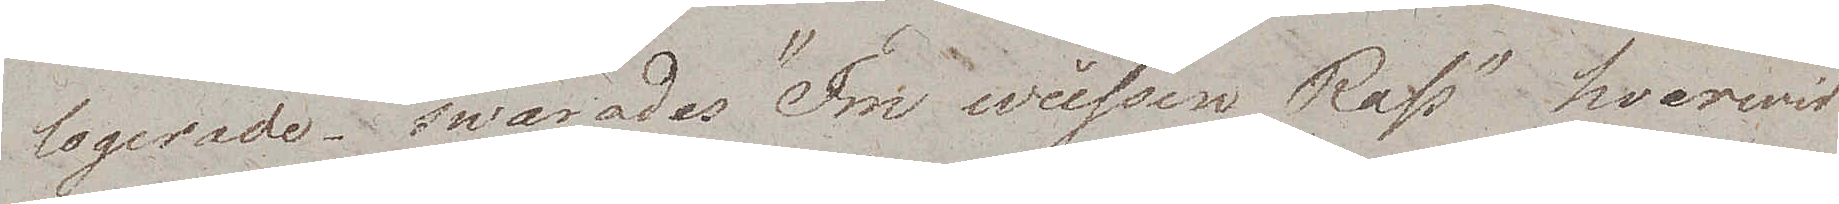logerade swarades "Im weissen Rose" hvarwid
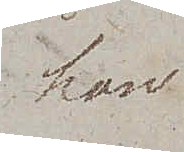han
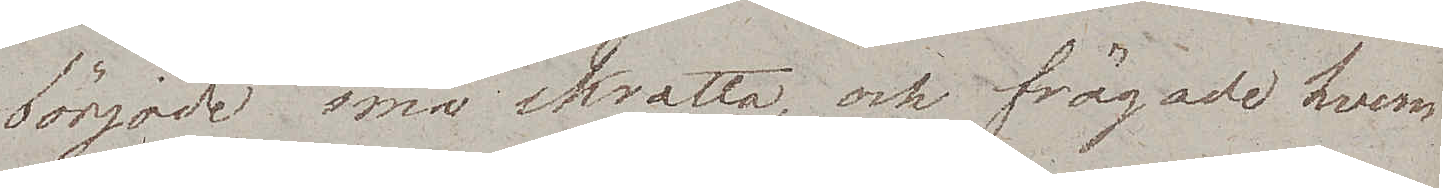började små skratta, och frågade hvem
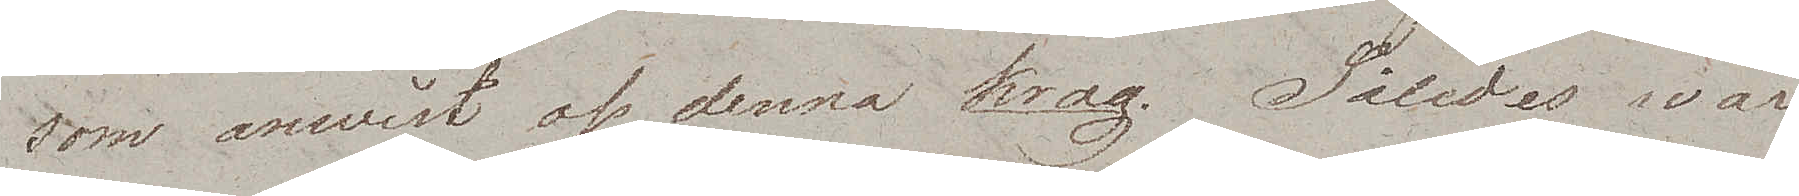som anwist oss denna krog. Således war
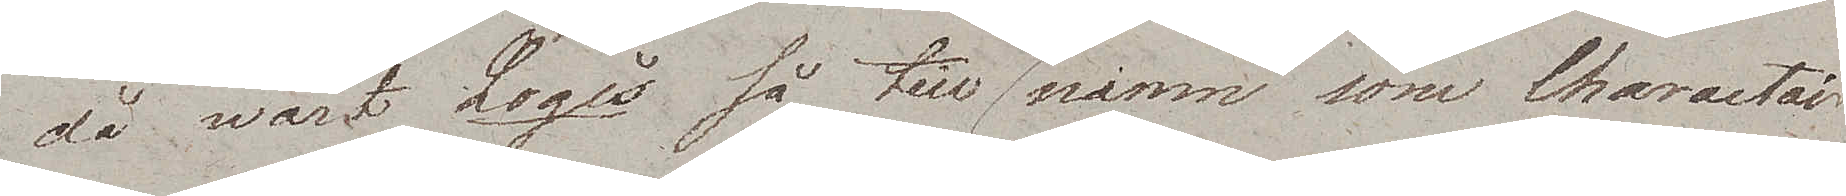då wårt Logis så till snamn som Charactaire
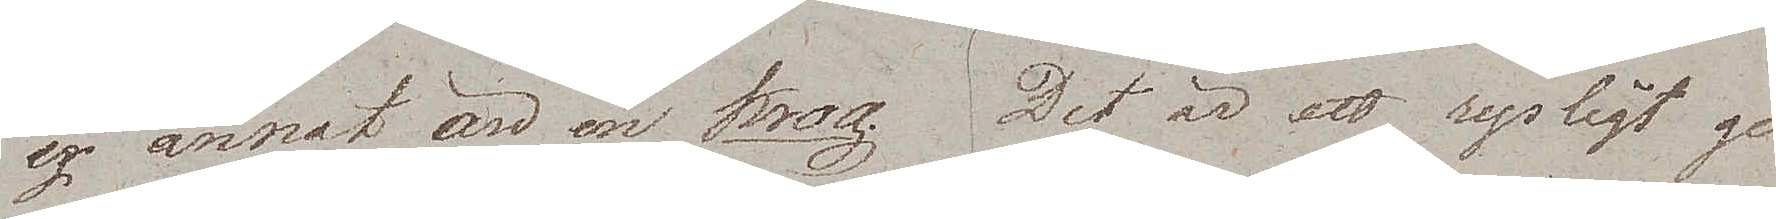ej annat än en krog. Det är ett rysligt ge¬
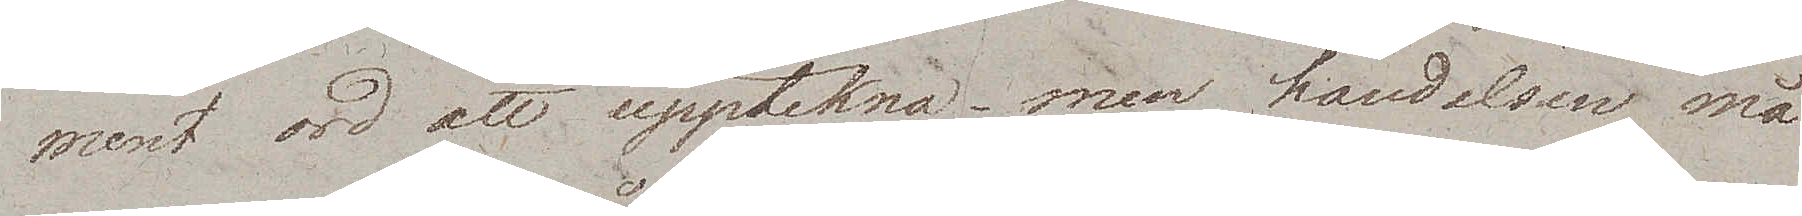ment ord att upptekna – men händelsen må
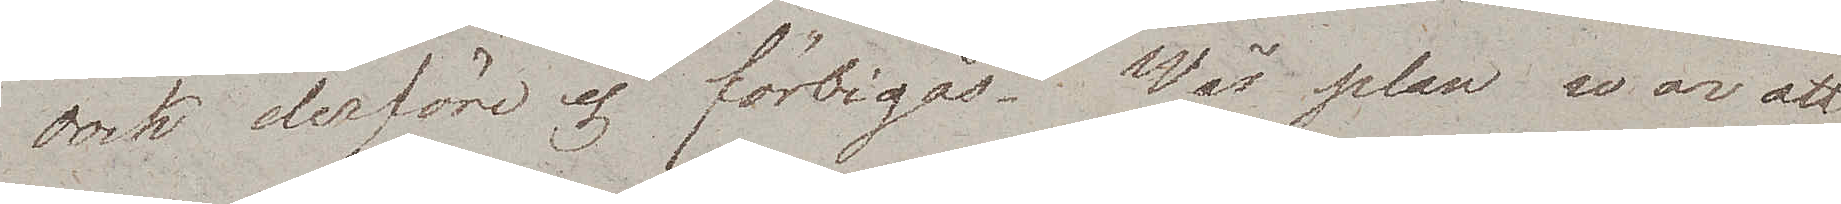dock derföre ej förbigås. Vår plan war att
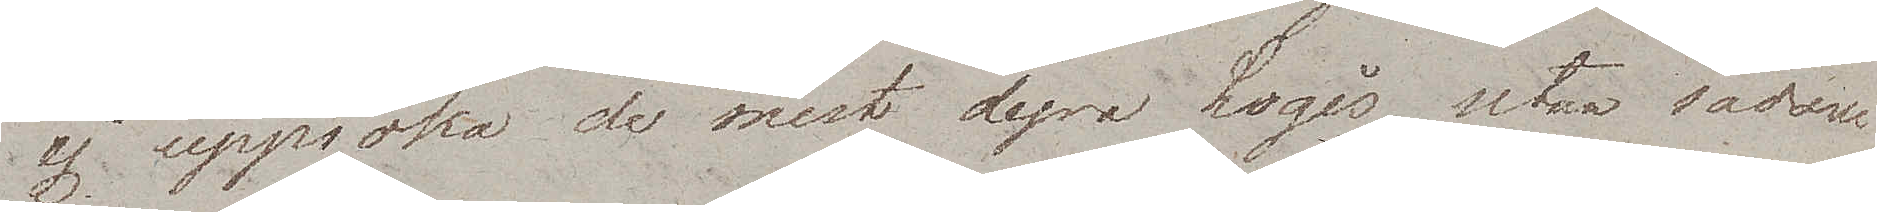ej uppsöka de mest dyra Logis. utan sådane
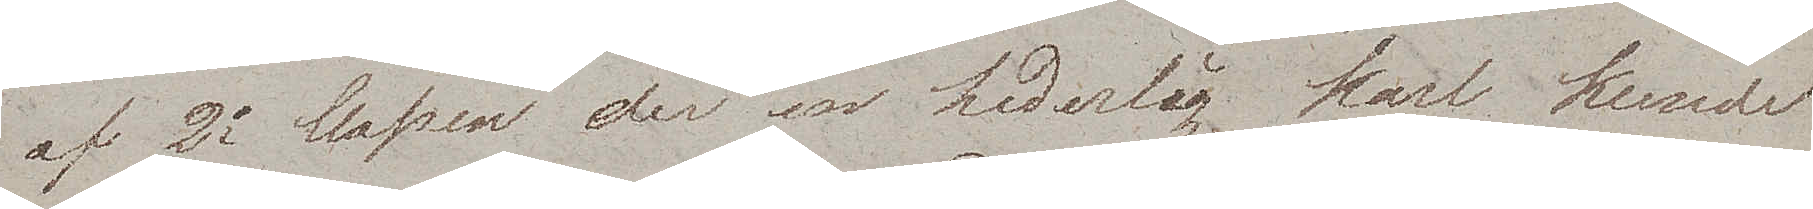af 2a Classen der en hederlig karl kunde
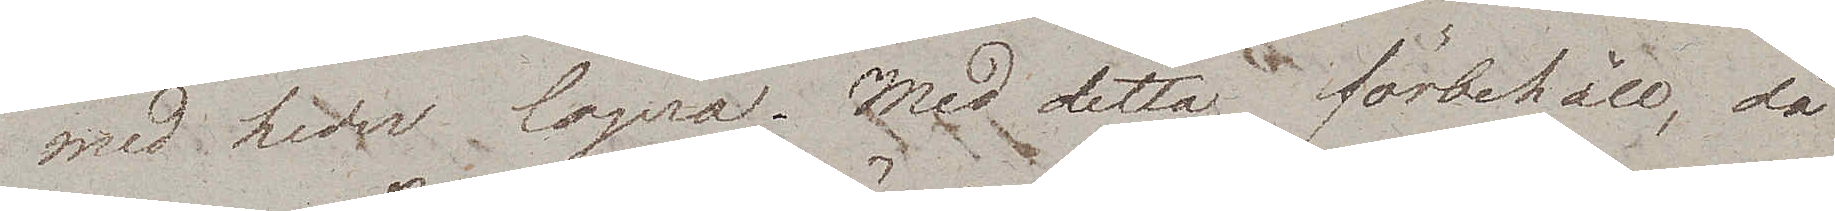med heder logera. Med detta förbehåll, då
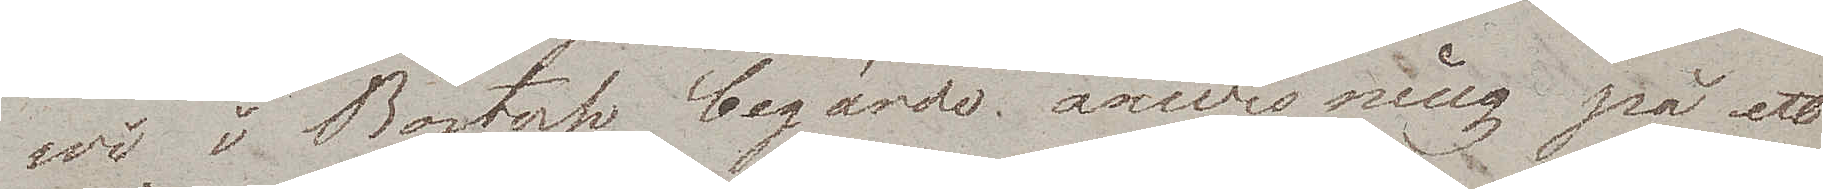wi i Rostock begärde anwisning på ett
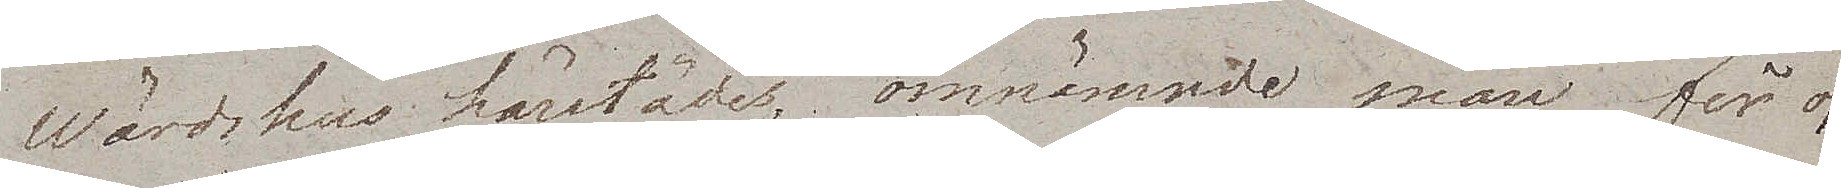Wärdshus härstädes, omnämnde man för oss
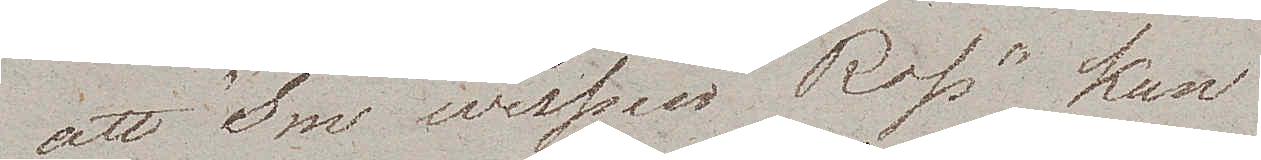att "Im weissen Rose" kan
